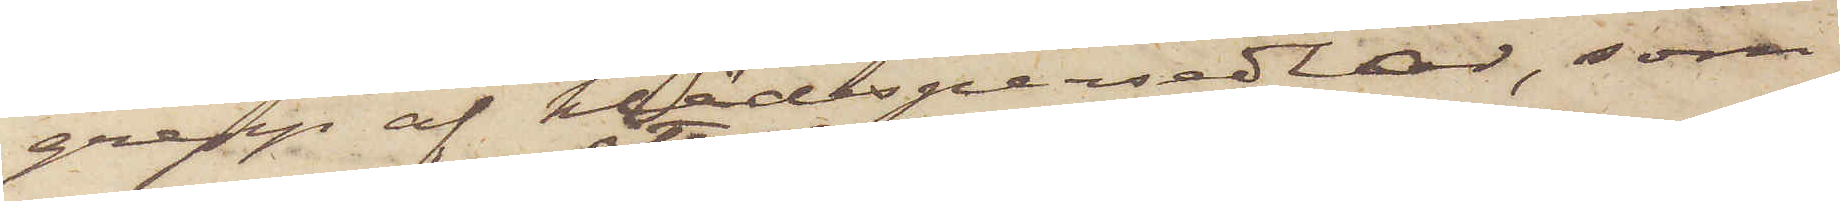grepp af klädespersedlar, som
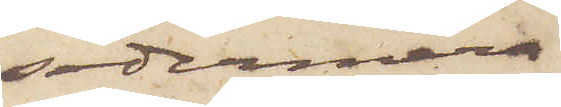sedermera
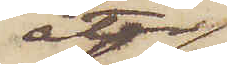åter¬
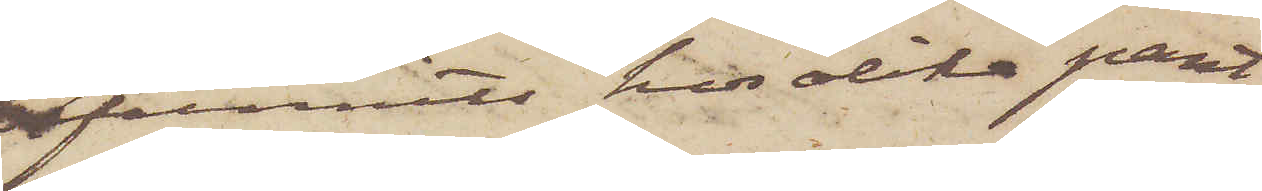funnits hos olika pant¬
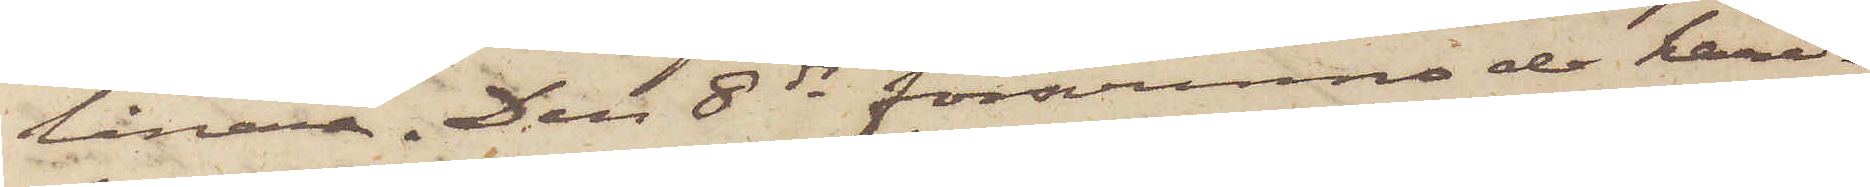lånare. Den 8 ds försvunno de häri¬
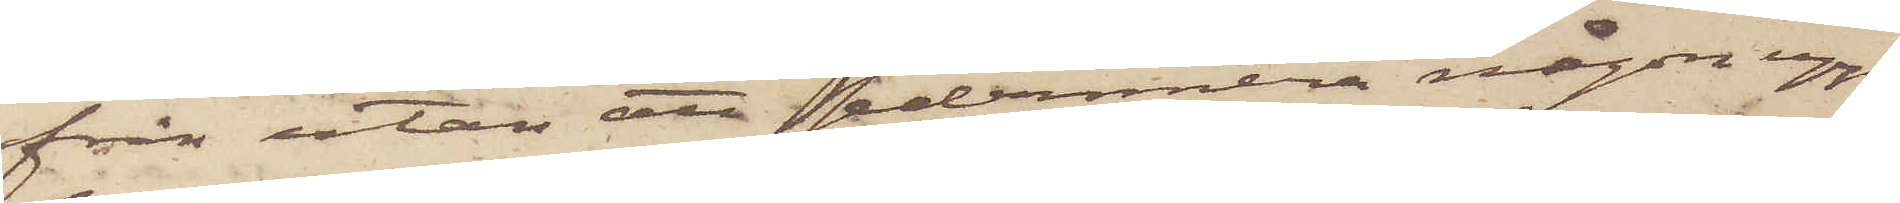från utan att sedermera någon upp¬
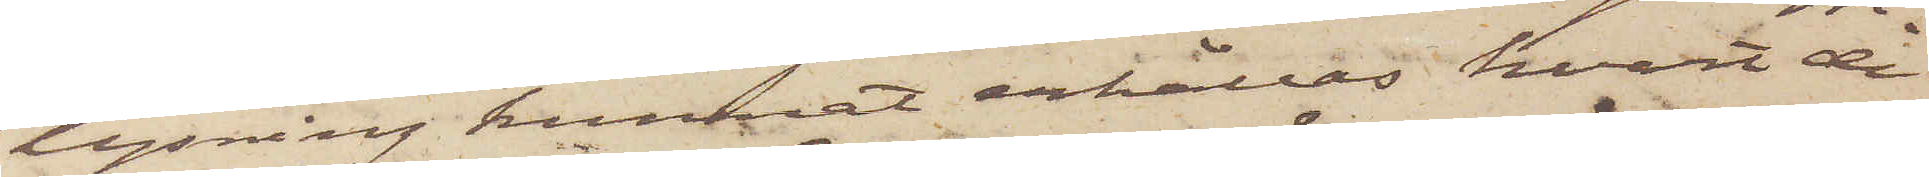lysning kunnat erhållas hvart de
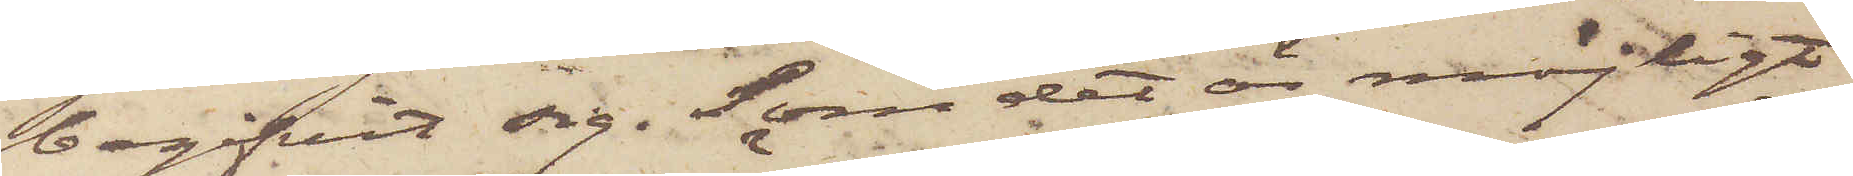begifvit sig. Som det är möjligt
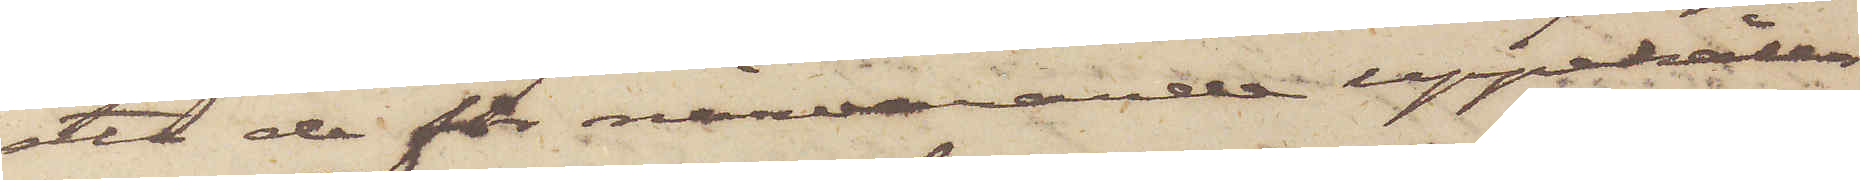att de för närvarande uppehåller
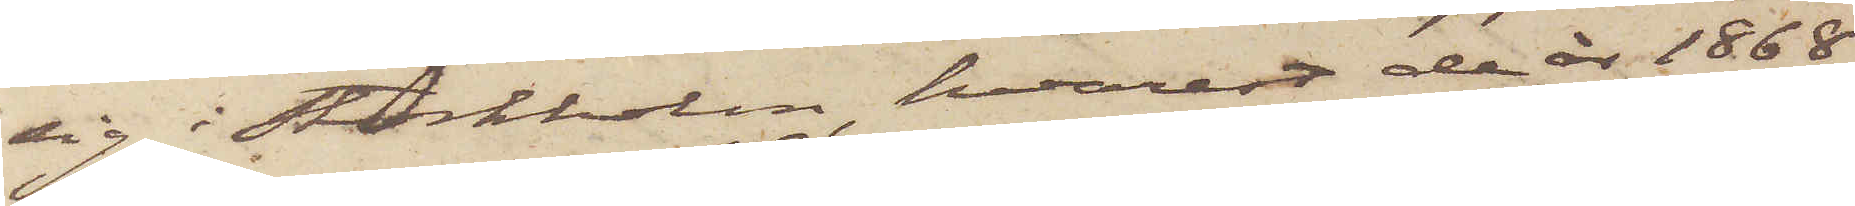sig i Stockholm, hvarest de år 1868
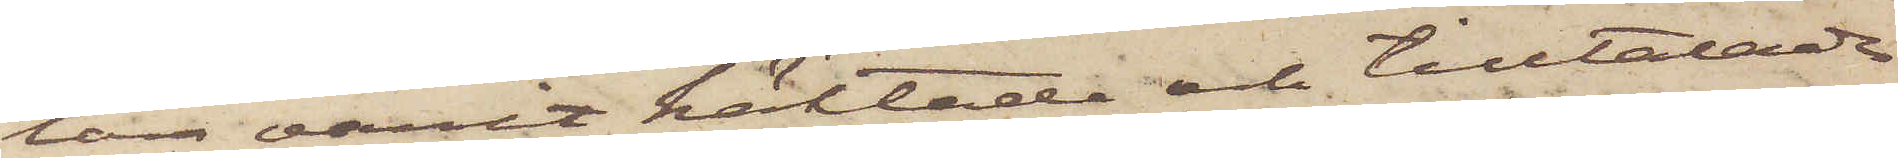lär varit häktade och tilltalade
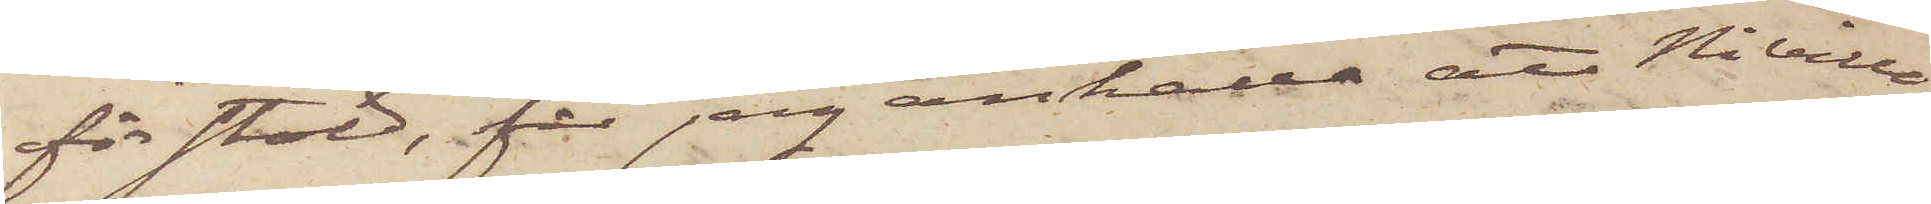för stöld, får jag anhålla att Ni ville
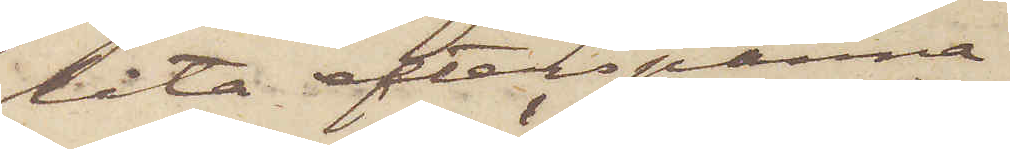låta efterspanna
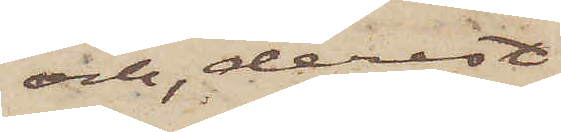och, derest
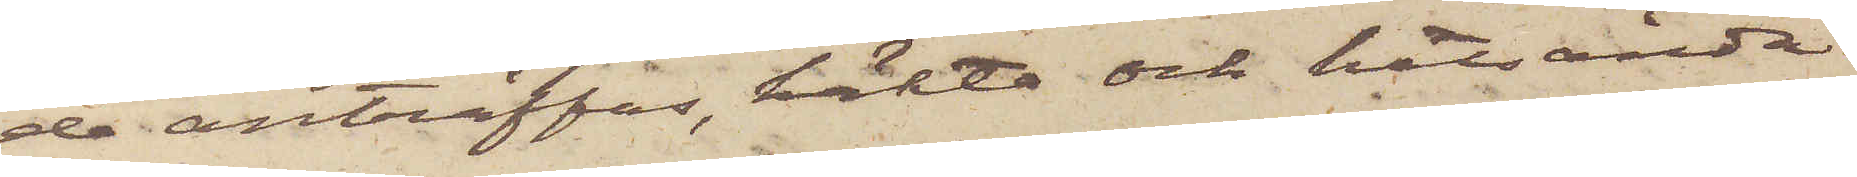de anträffas, häkta och hitsända
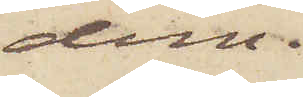dem.
